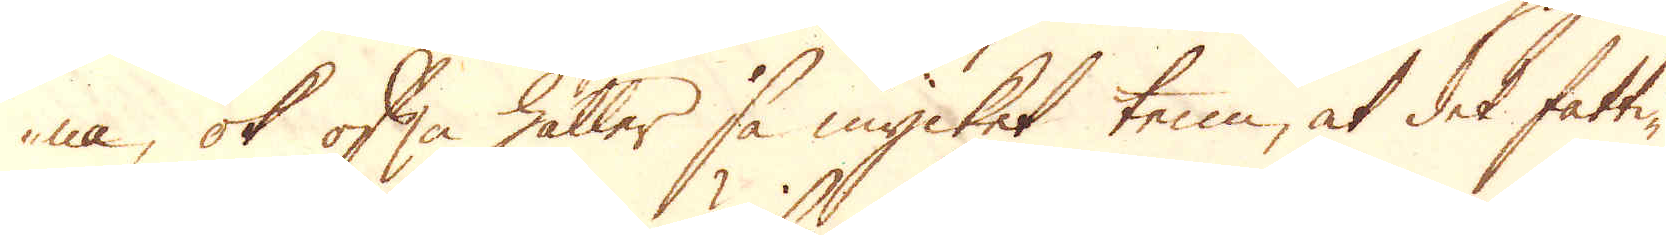na, ok ofta håller så mycket tenn, at det fatti-
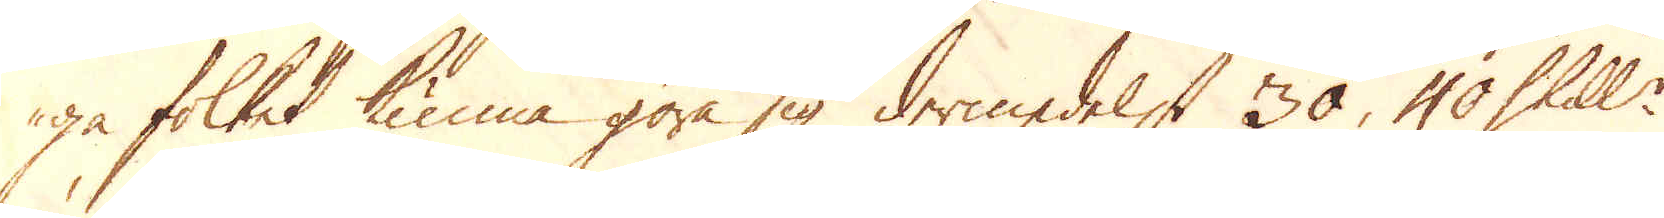ga folket kunna göra sig dermedelst 30, 40 Skill:r
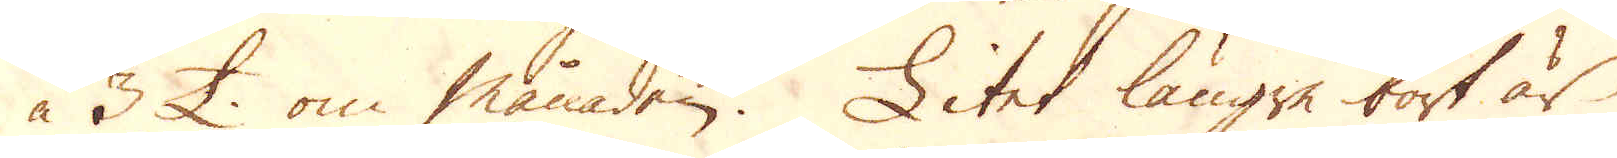à 3 £. om månaden. Litet längre bort är
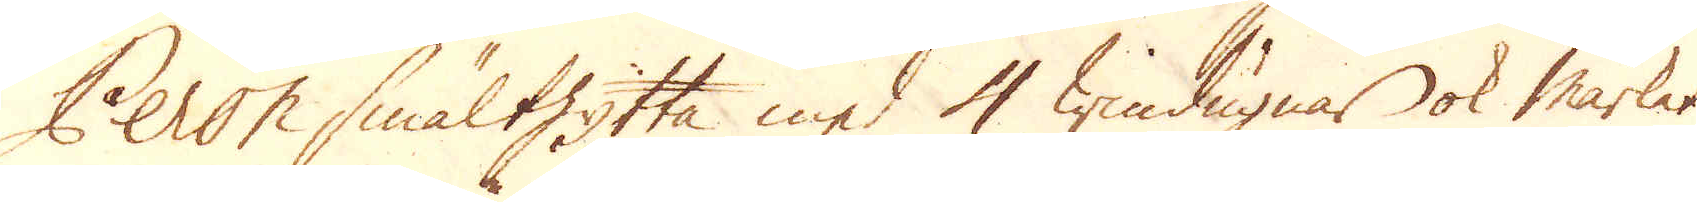Peron smälthytta med 4 windugnar ok markat
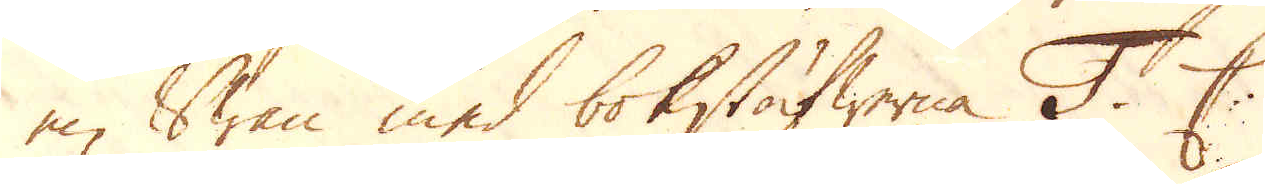en Swan med bokstäfwerna T C.
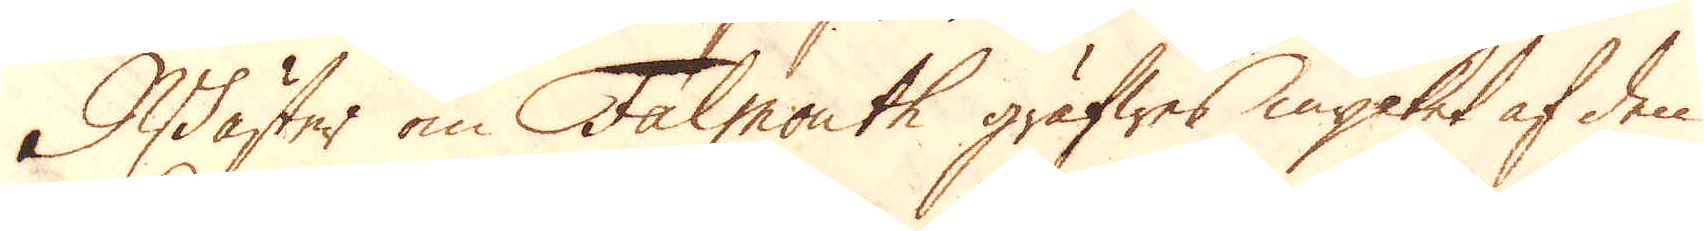Wäster om Falmouth gräfwes mycket af den
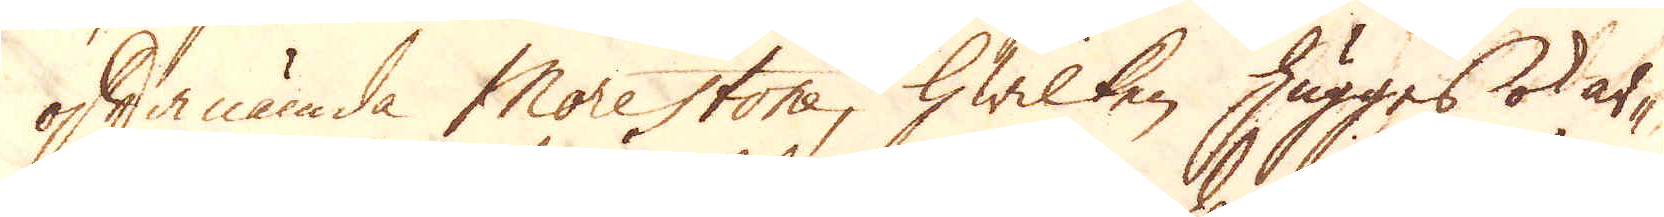oftanämda Morestone, hwilken hugges ok ar-
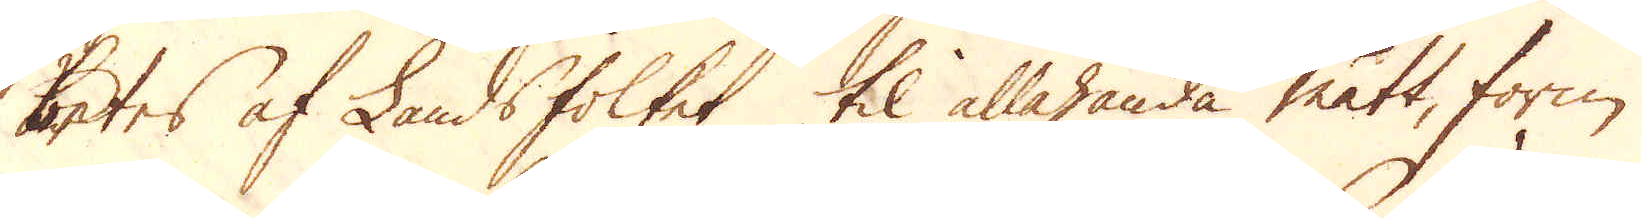betes af Landsfolket til allahanda mått, form
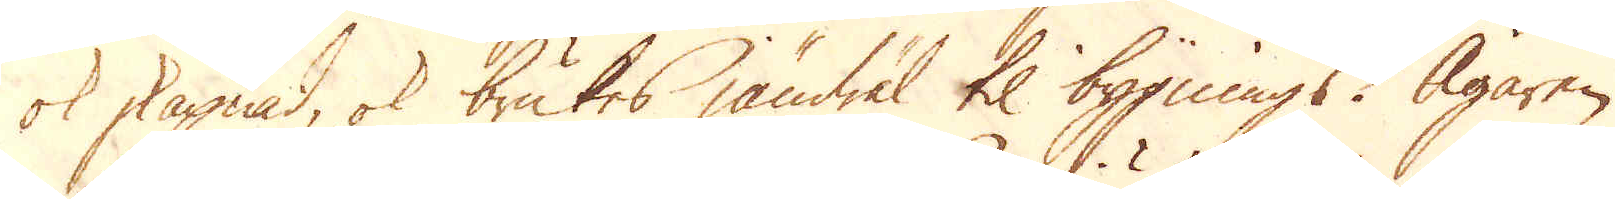ok skapnad, ok brukes jämwäl til bygnings. Ägaren
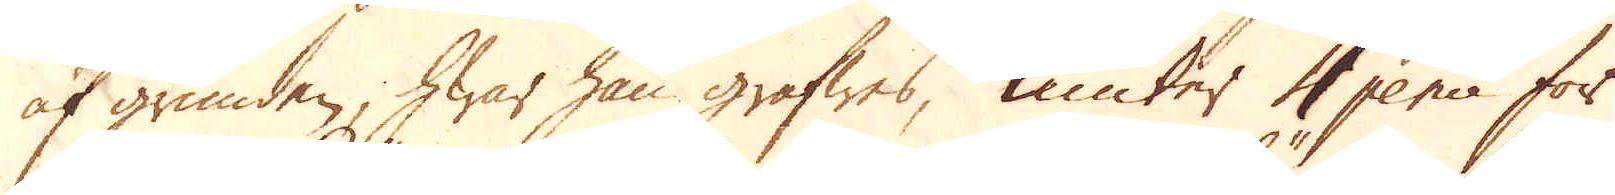af grunden, hwar han gräfwes, niuter 4 pence för
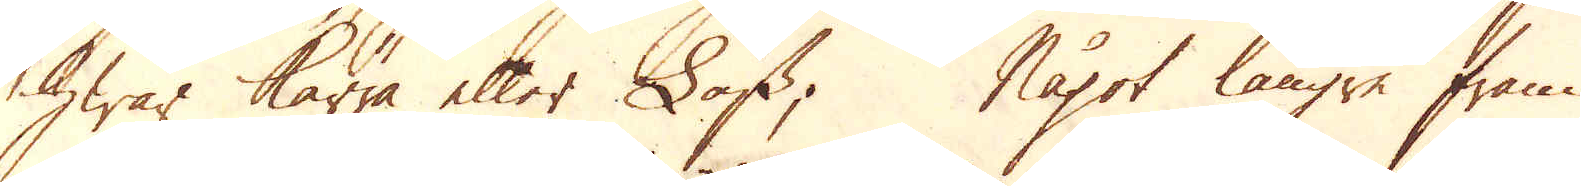hwar kärra eller Lass; något längre fram
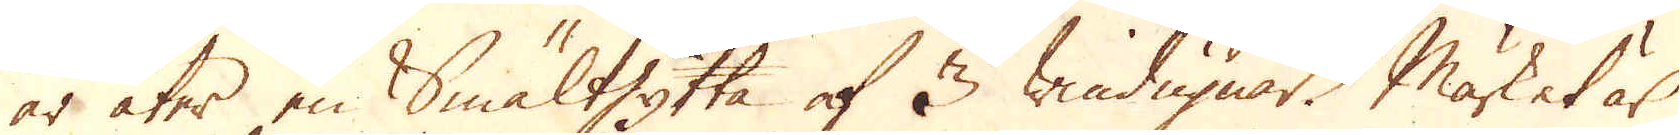är åter en Smälthytta af 3 windugnar. Märket är
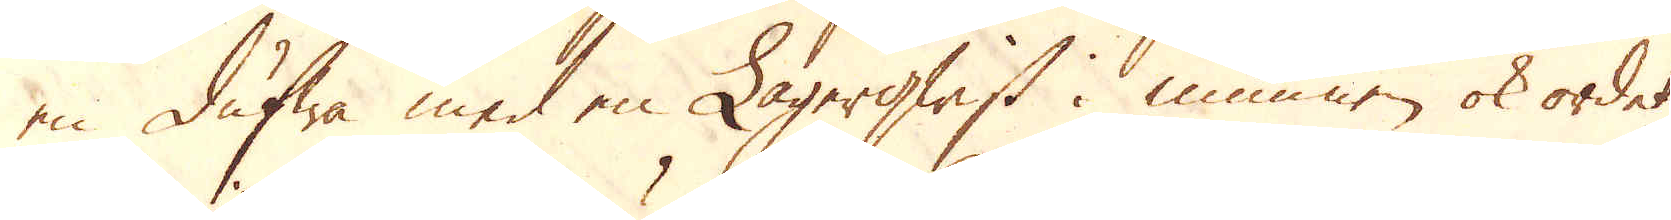en dufwa med en Lagerqwist i munnen ok ordet
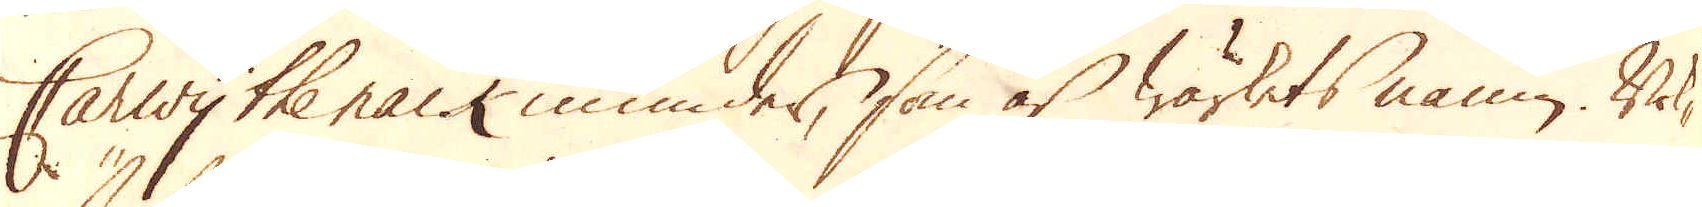Carwy the nack inunder, som är wärkets namn. Bok-
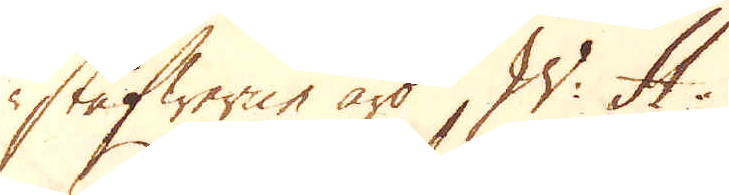stäfwerne äro W: H.
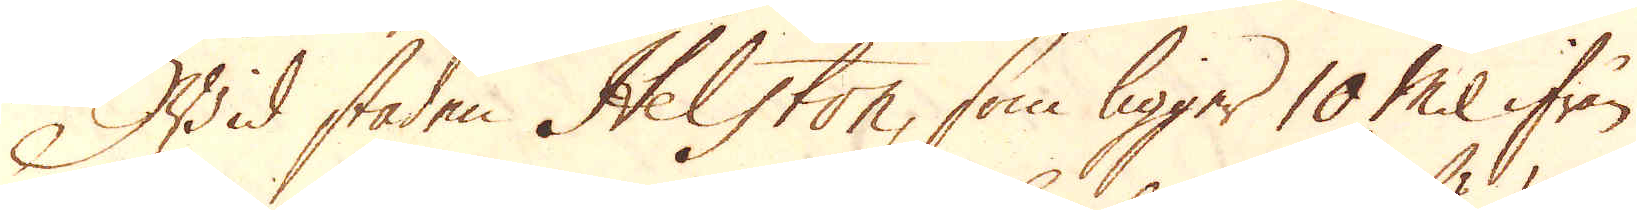Wid staden Helston, som ligger 10 Mil ifrån
